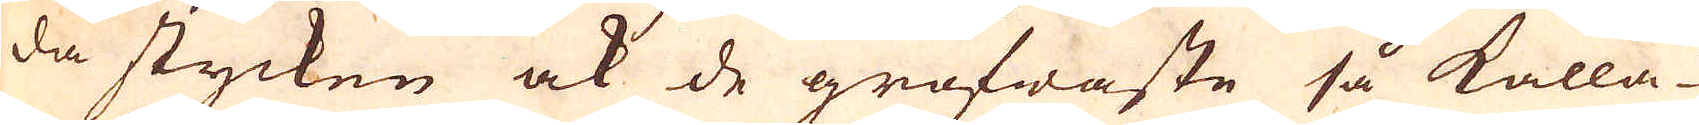da stycken ock de grofwaste så kalla-
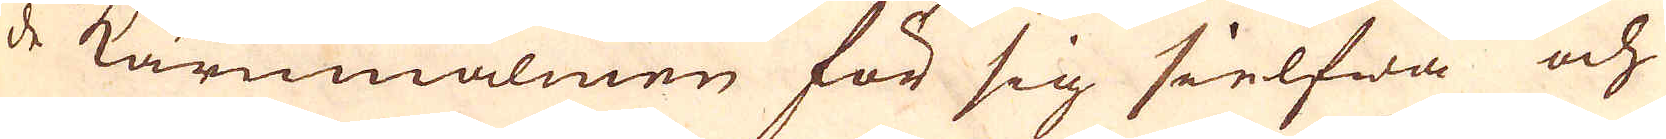de kärnmalmen för sig sielfwa och
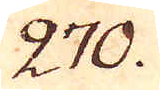270.
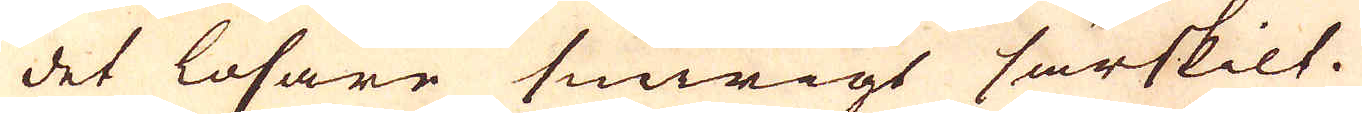det lösare swirigt särskilt.
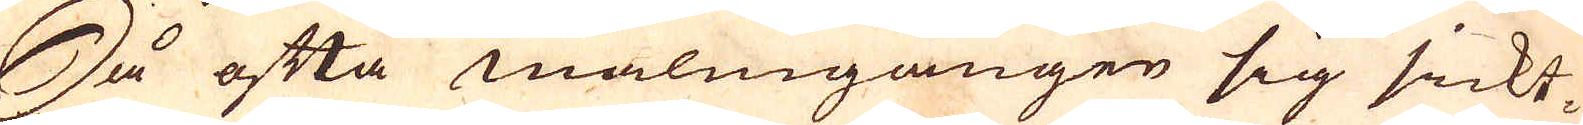Så ofta malmgången sig sickt-
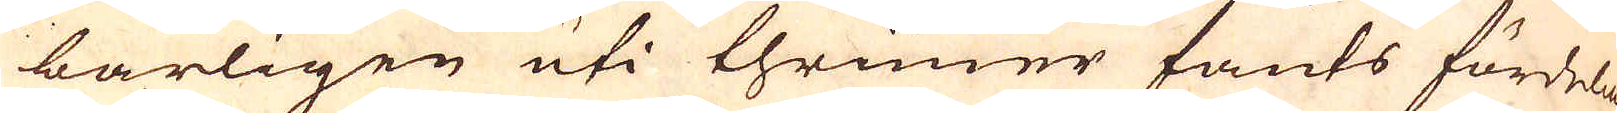barligen uti thrimer fants fördelade
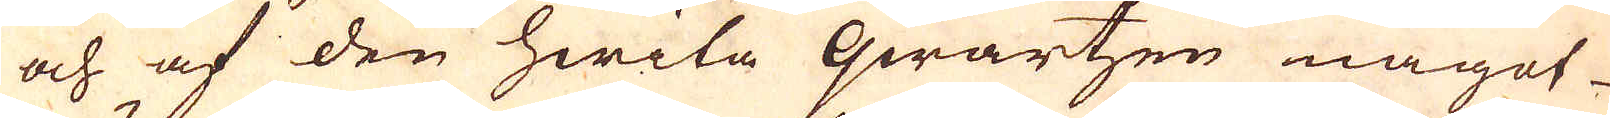och af den hwita qwartzen något
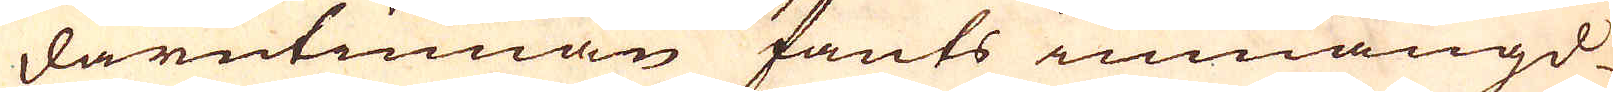därutinnan fants inmängd
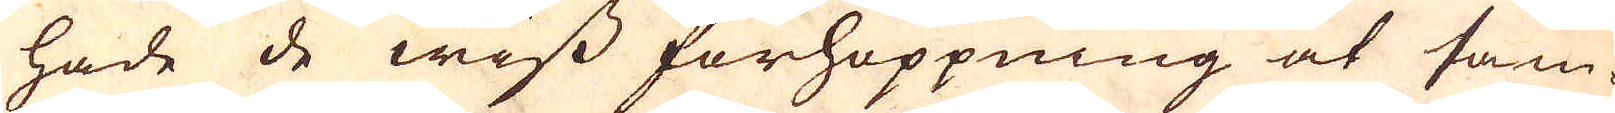hade de wiss förhoppning at sam-
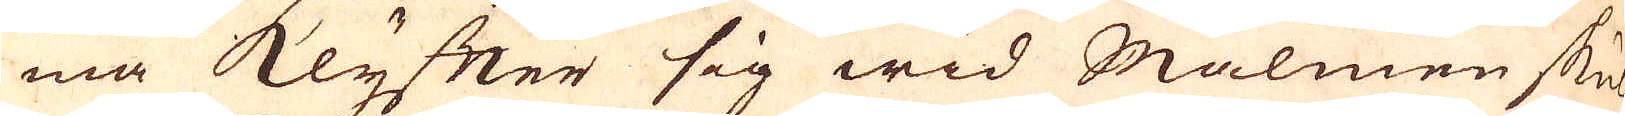ma klyfter sig wid Malmen sku-
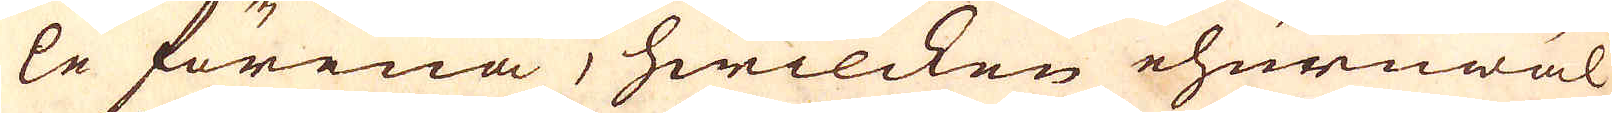le förena, hwilcken ehuruwäl
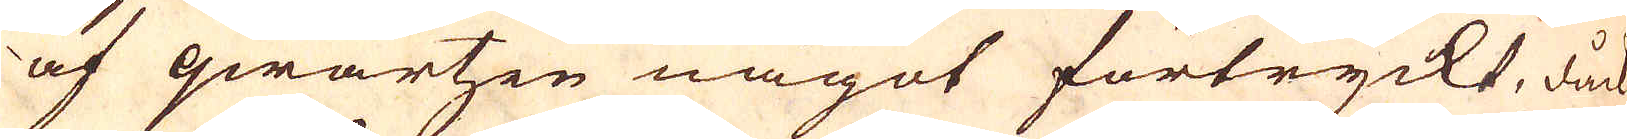af qwartzen något förtryckt, dåck
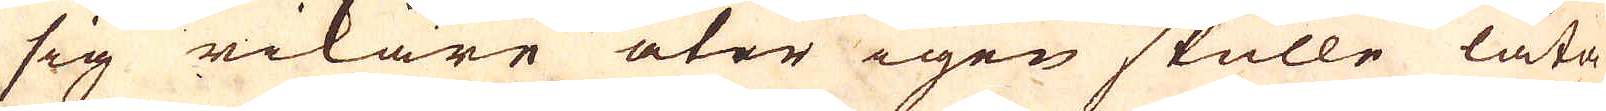sig rikare åter igen skulle låta
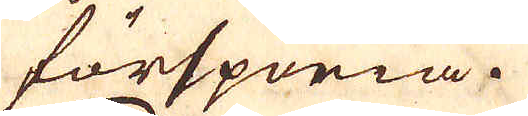förspöria.
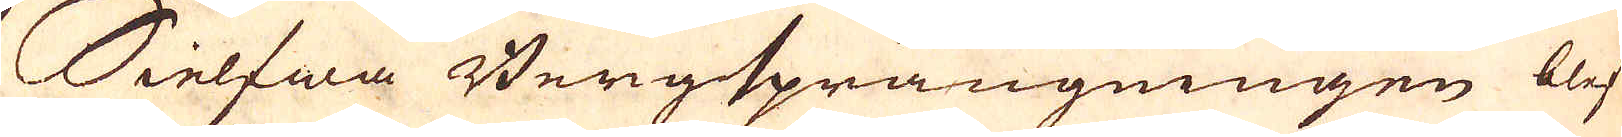Sielfwa Bergsprängningen blef
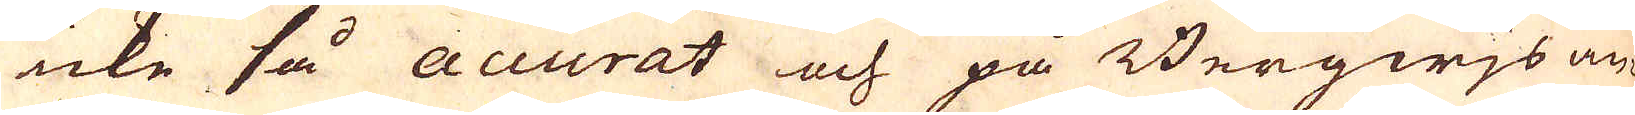icke så Accurat och på Bergwjs an-
